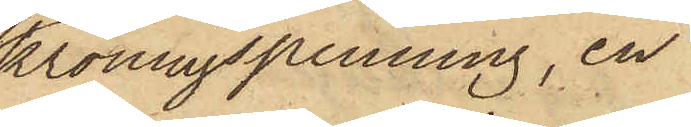kröningspenning, en
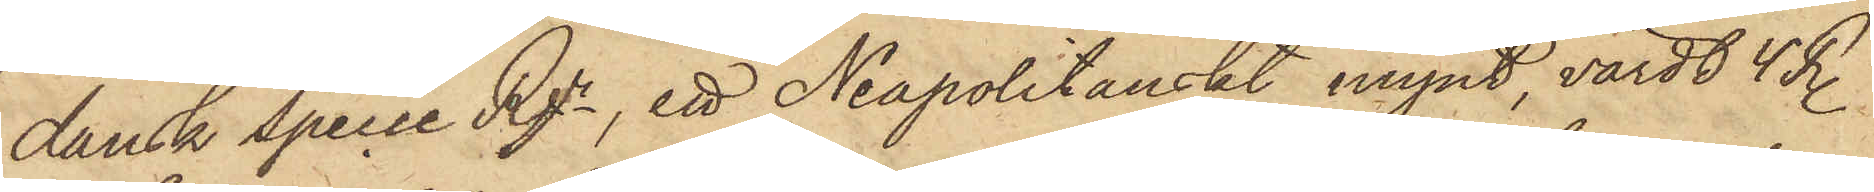dansk specie Rgr, ett Neapolitanskt mynt, värdt 4 R.
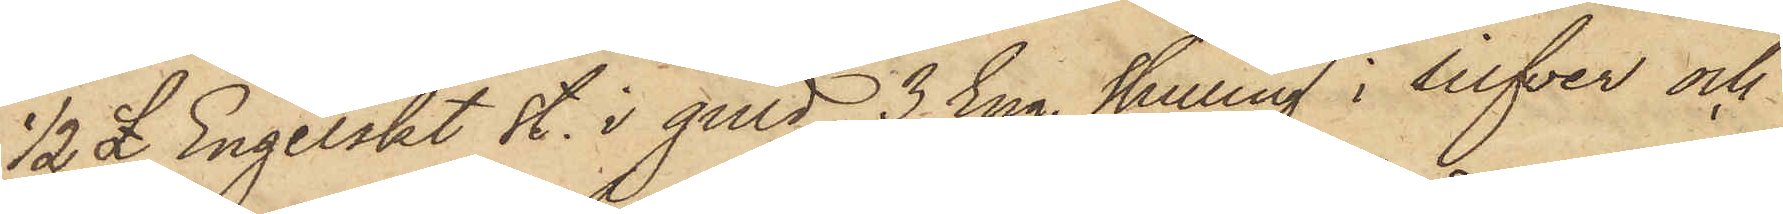1/2 pund Engelskt st. i guld, 3 Eng. skilling i silfver och
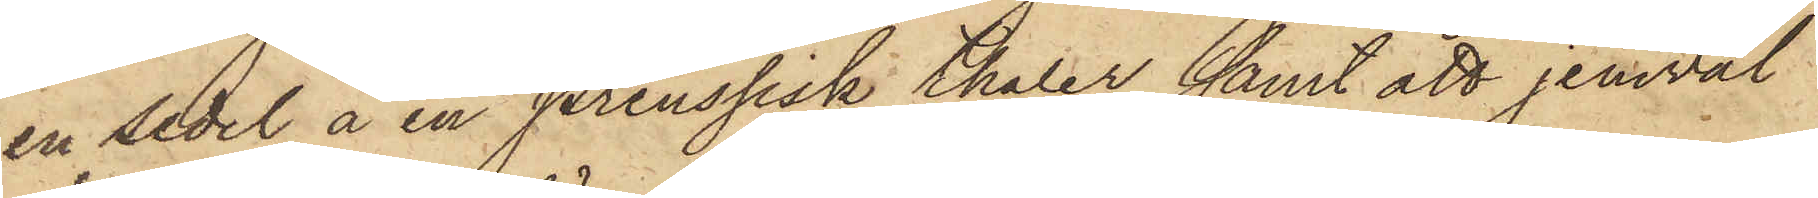en sedel å en Preussisk thaler samt att jemwäl
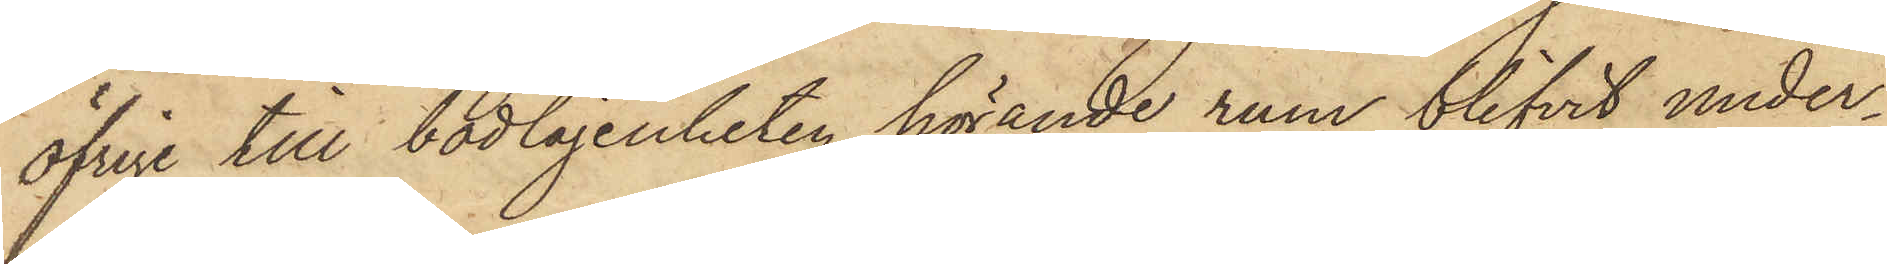öfrige till bodlägenheten hörande rum blifvit under¬
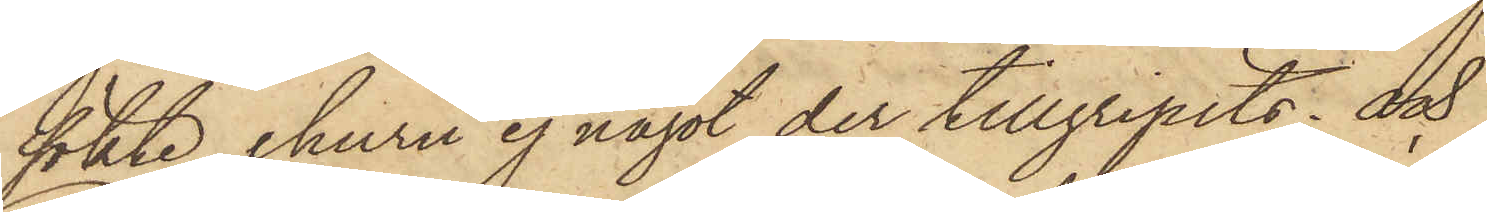sökte, ehuru ej något der tillgripits; och
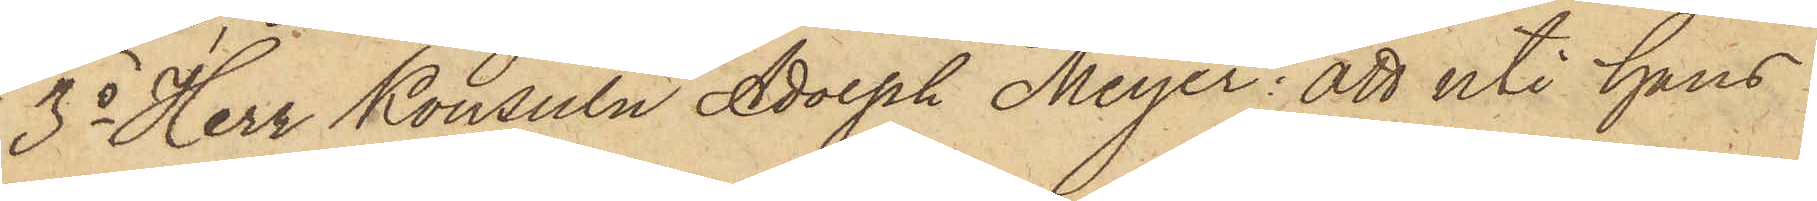3o Herr Konsuln Adolph Meyer: att uti hans
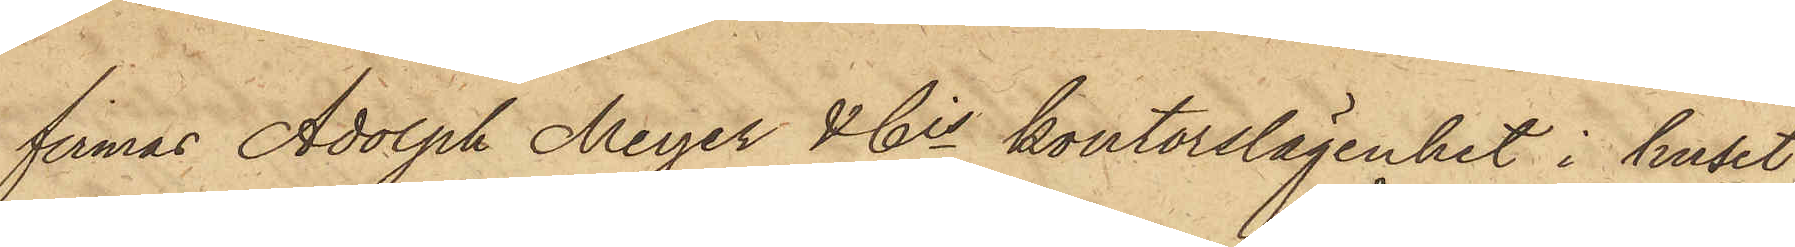firmas Adolph Meyer & Cis kontorslägenhet i huset
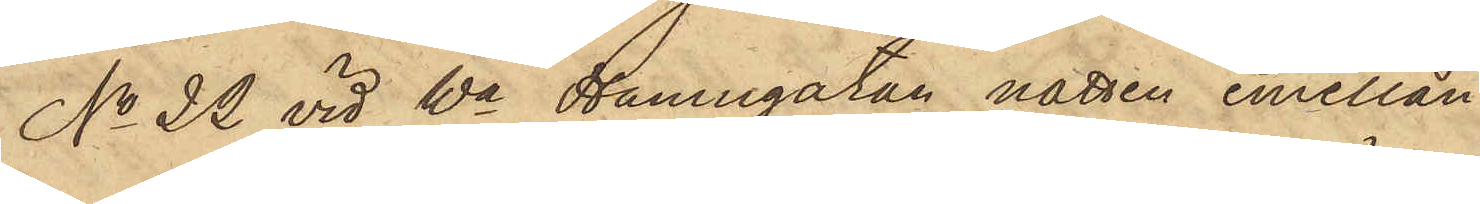No 22 vid Wa Hamngatan natten emellan
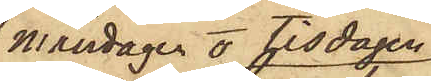Måndagen o Tisdagen
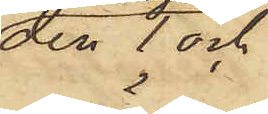den 7 och
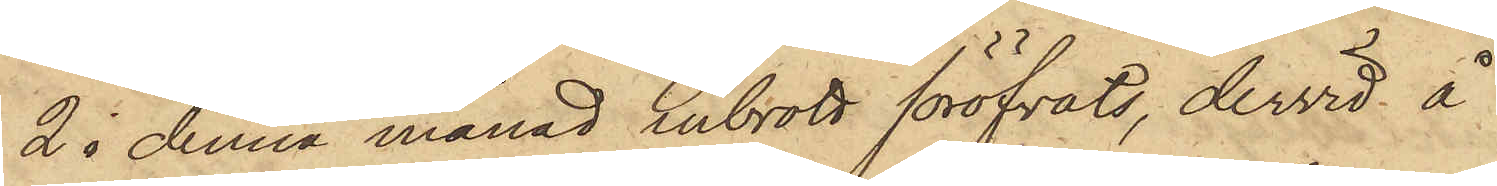2 i denna månad inbrott föröfvats, dervid å
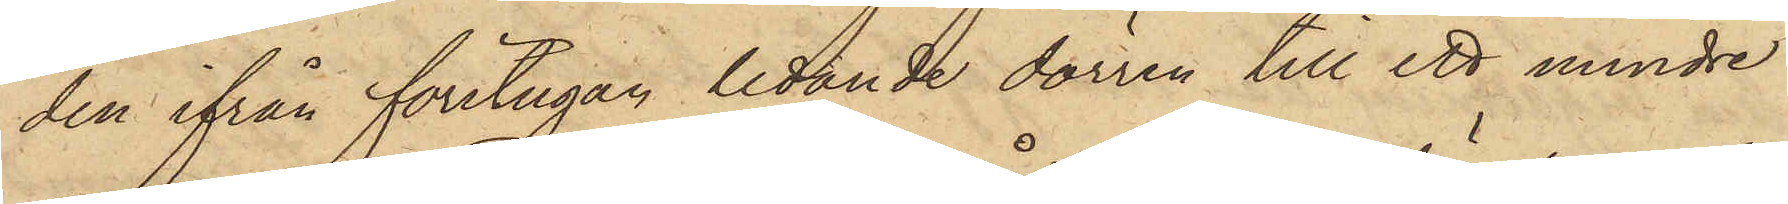den ifrån förstugan ledande dörren till ett mindre
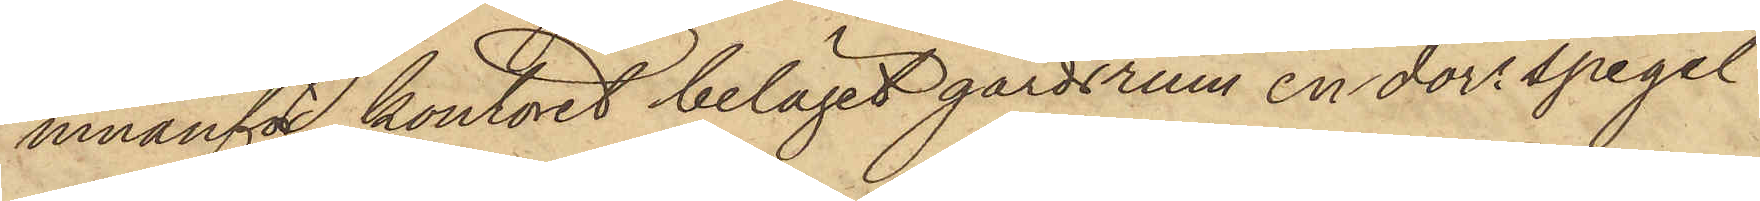innanför kontoret beläget gårdsrum en dörrspegel
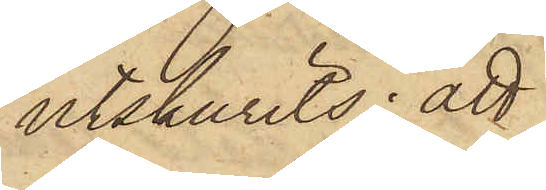utskurits; att
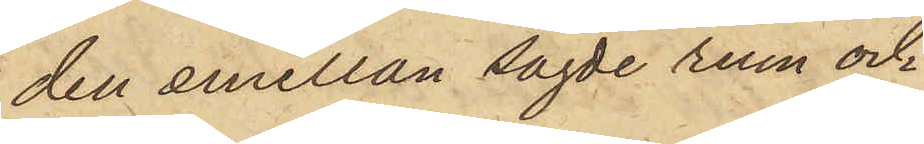den emellan sagde rum och
